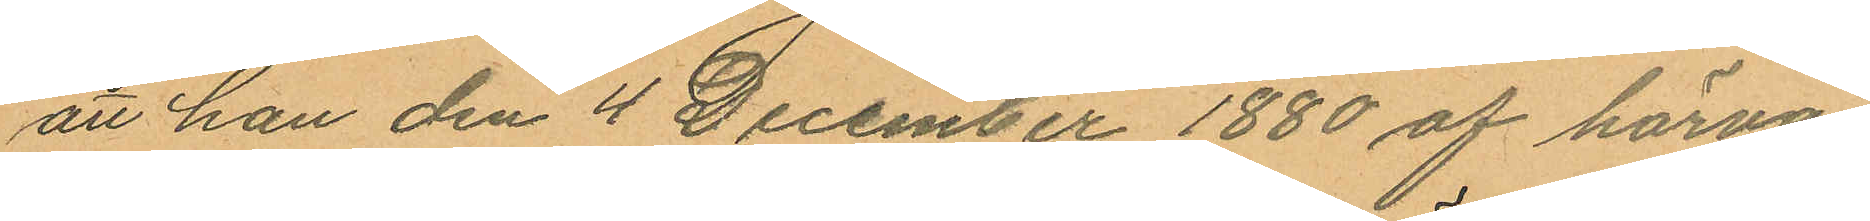att han den 4 December 1880 af härva¬
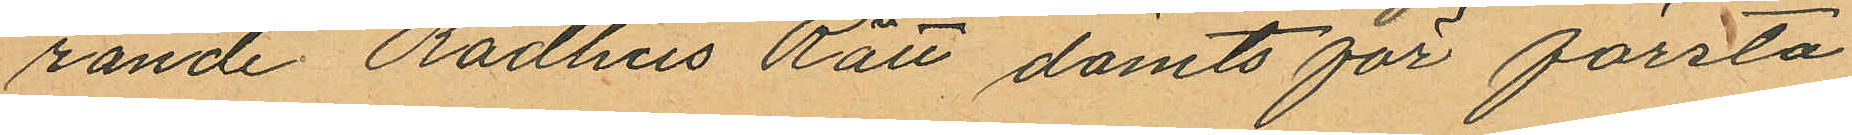rande Rådhus Rätt dömts för första
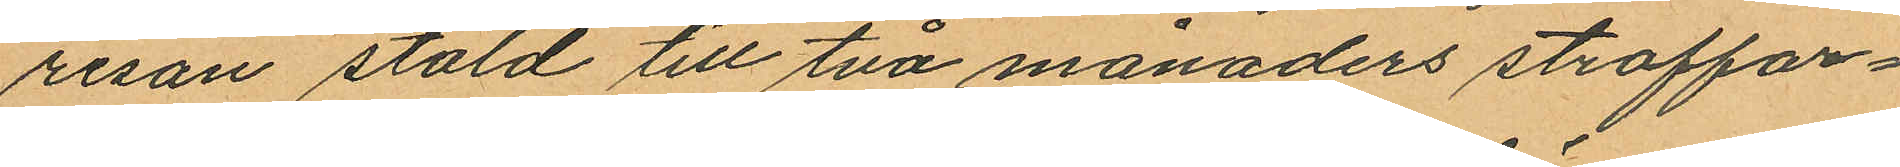resan stöld till två månaders straffar¬
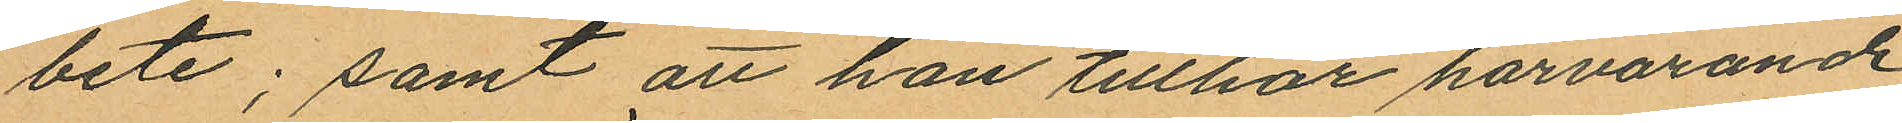bete; samt att han tillhör härvarande
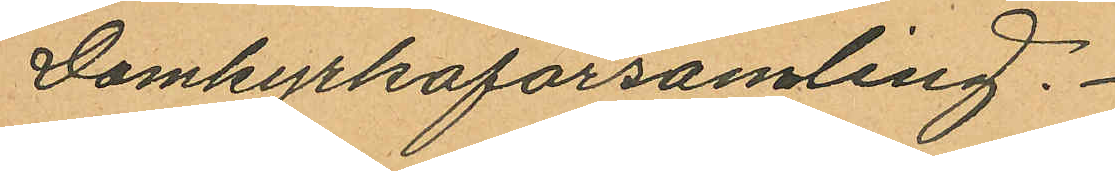Domkyrkoförsamling.
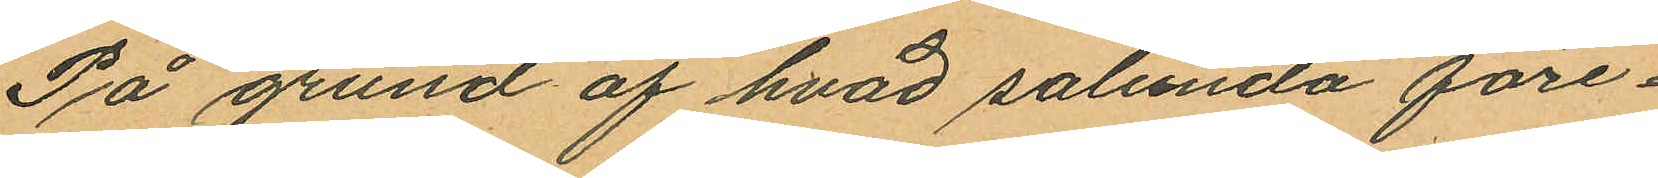På grund af hvad sålunda före¬
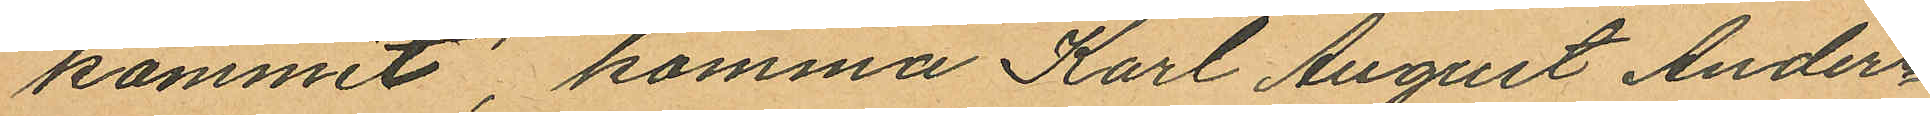kommit, komma Karl August Anders¬
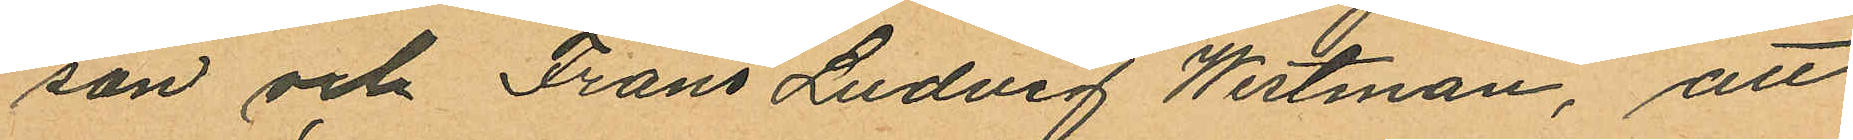son och Frans Ludvig Westman, att
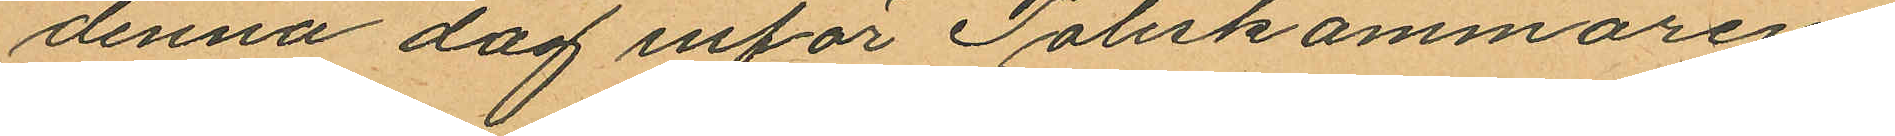denna dag inför Poliskammaren
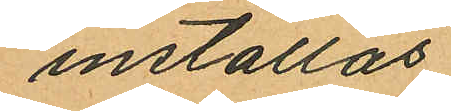inställas.
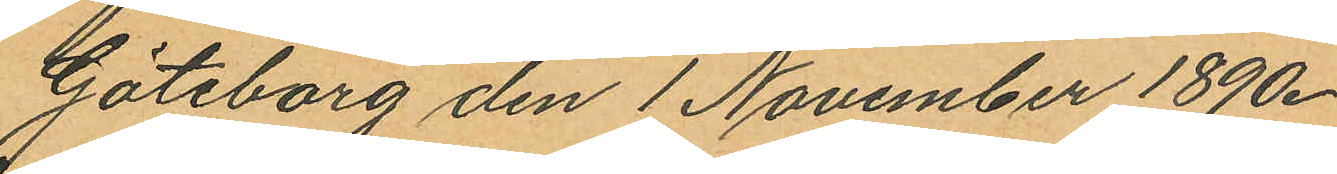Göteborg den 1 November 1890.
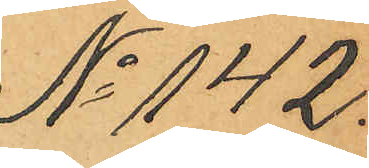No 142.
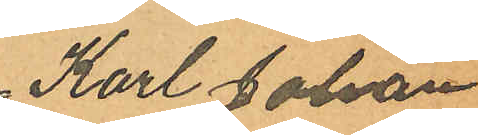Karl Johan
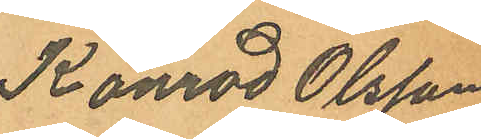Konrad Olsson
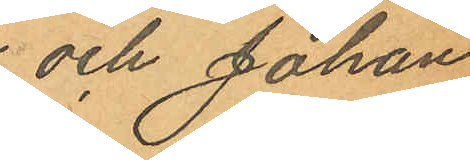och Johan
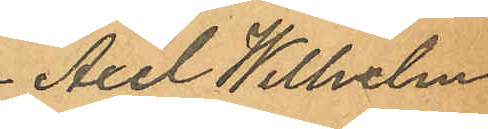Axel Wilhelm
